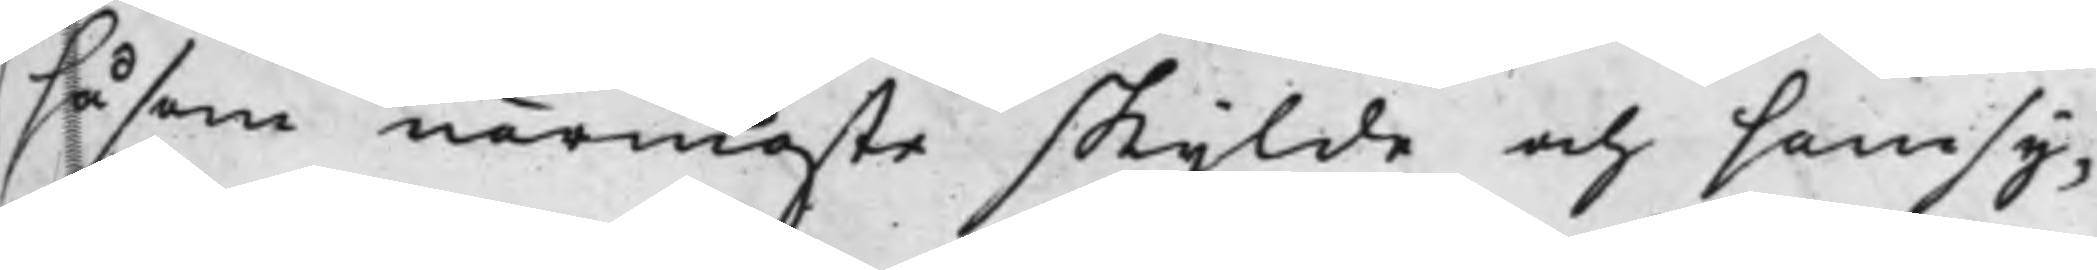såsom närmaste skylde och samsy¬
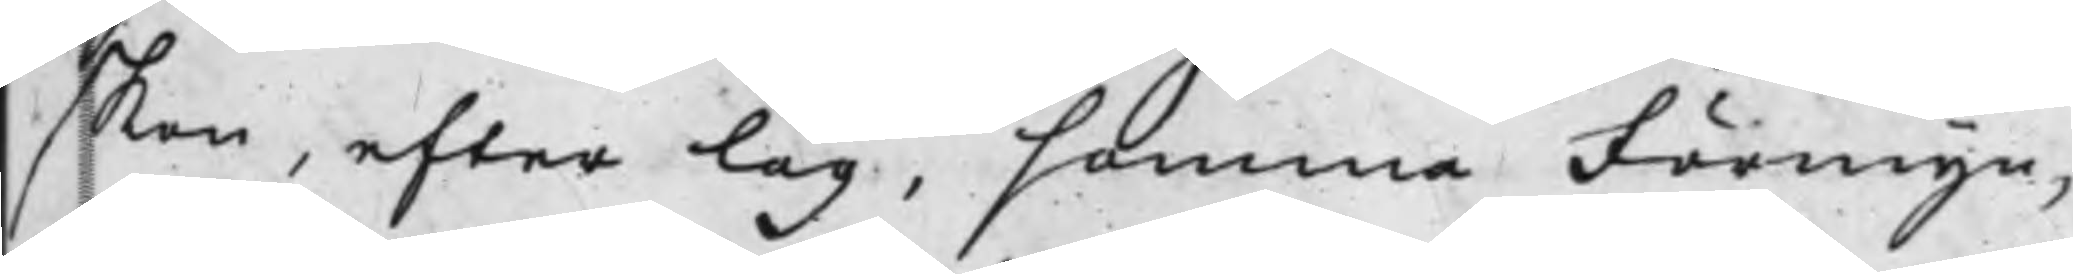skon, efter Lag, samma Förmyn¬
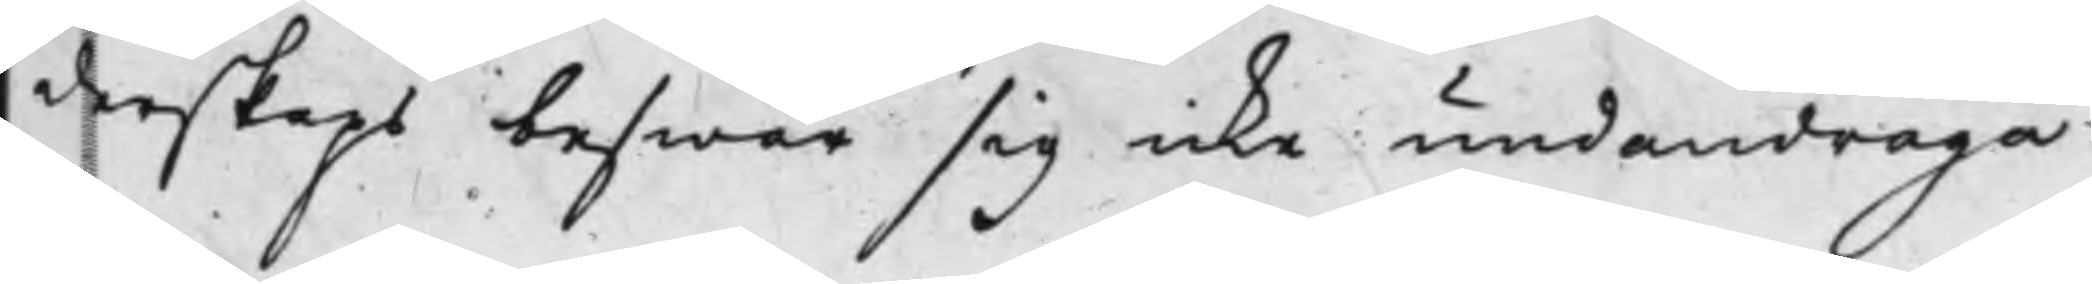derskaps beswär sig icke undandraga
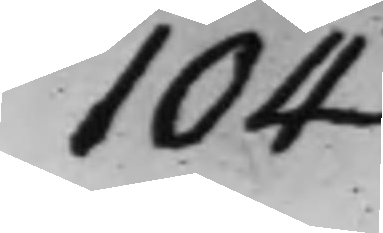104
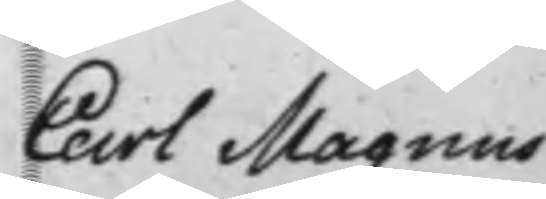Carl Magnus
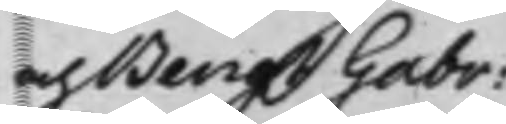och Bengt Gabr:
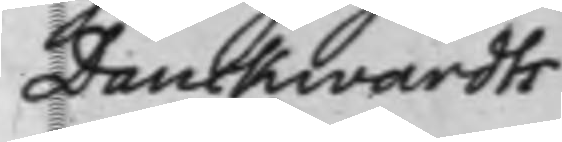Danckwardts
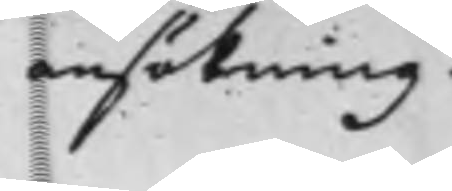ansökning.
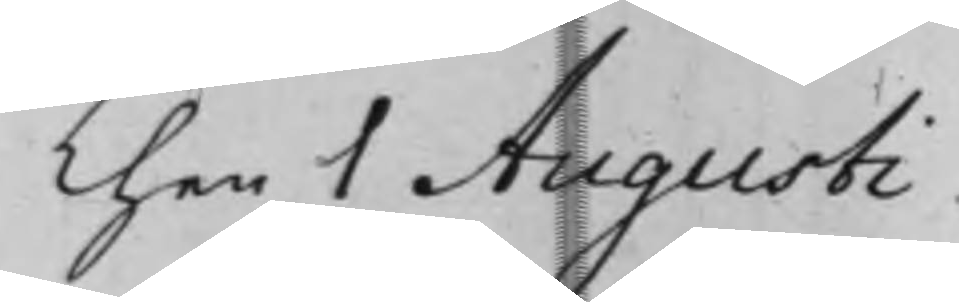Then 1 Augusti
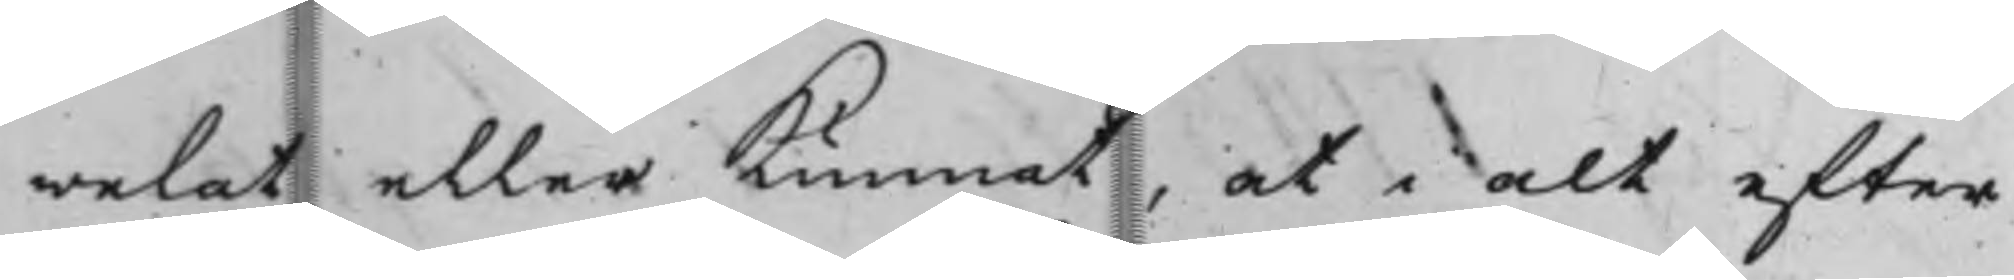welat eller Kunnat, at i alt efter
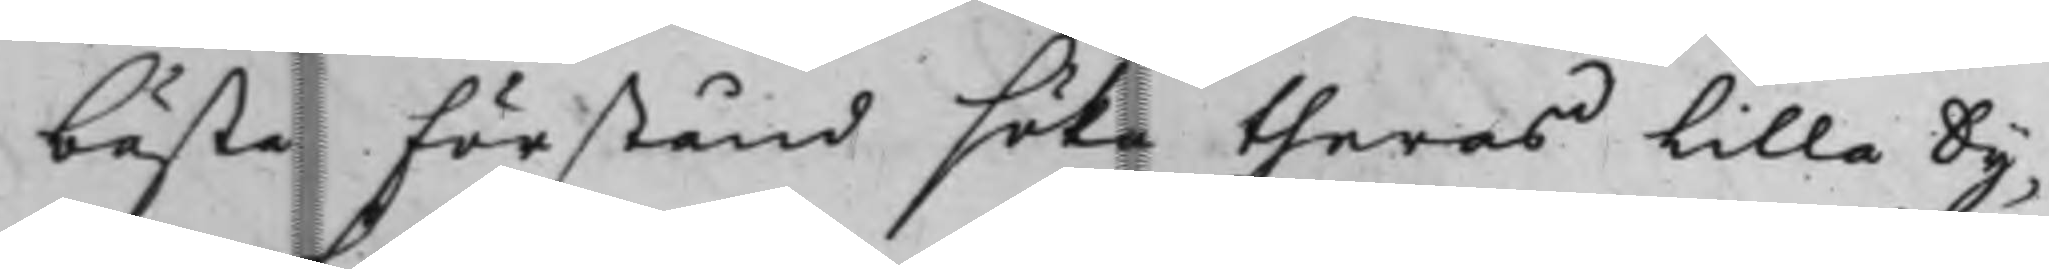bästa förstånd söka theras lilla Sy¬
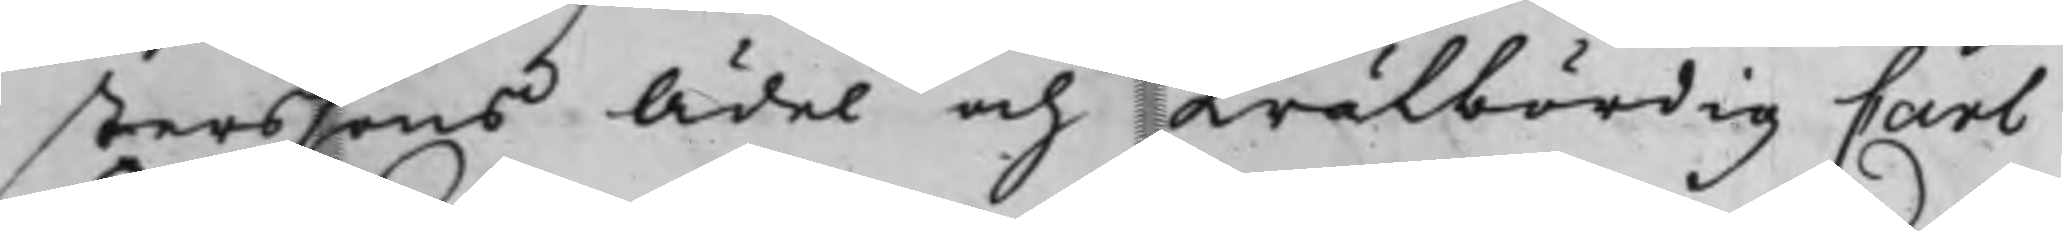sterssons Ädel och Wälbördig Carl
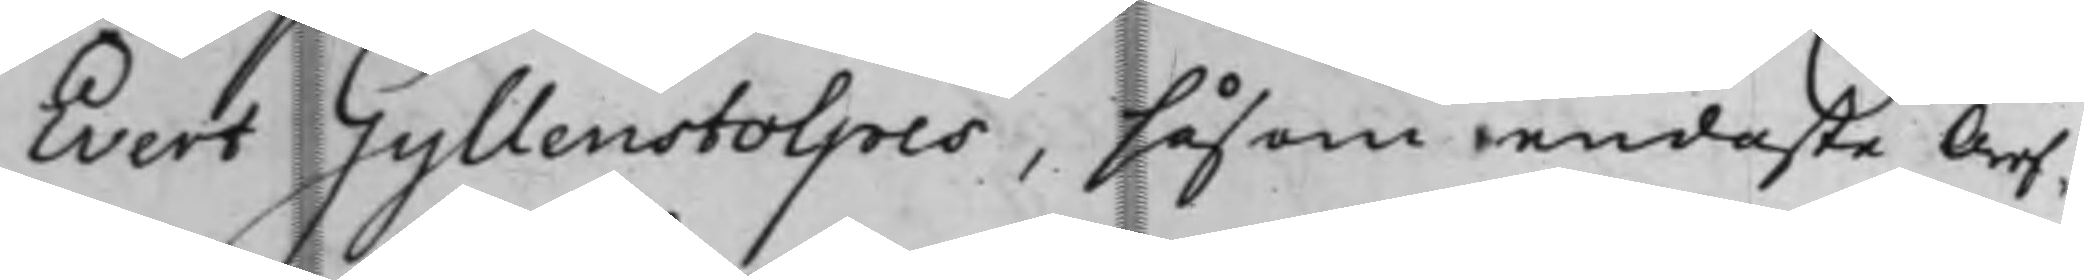Evert Gyllenstolpes, såsom eendaste Arf¬
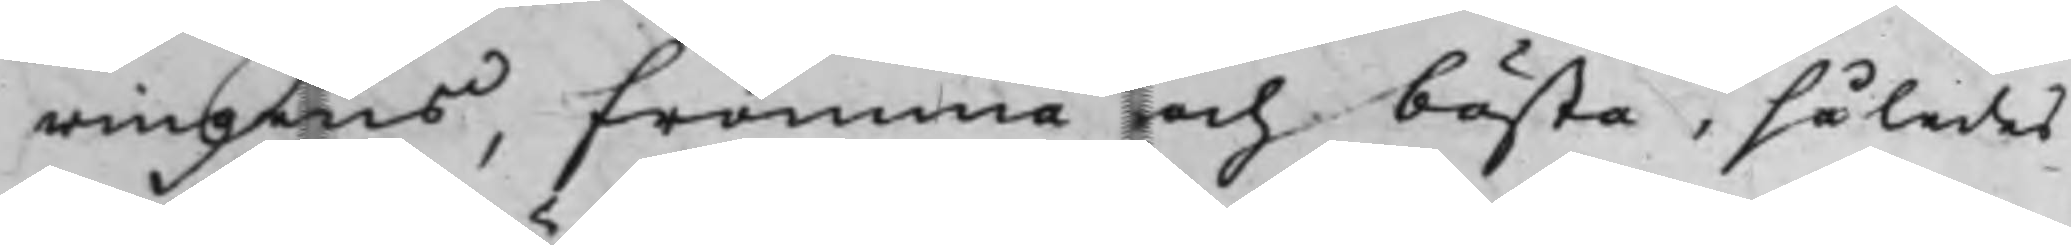wingens, fromma och bästa, således
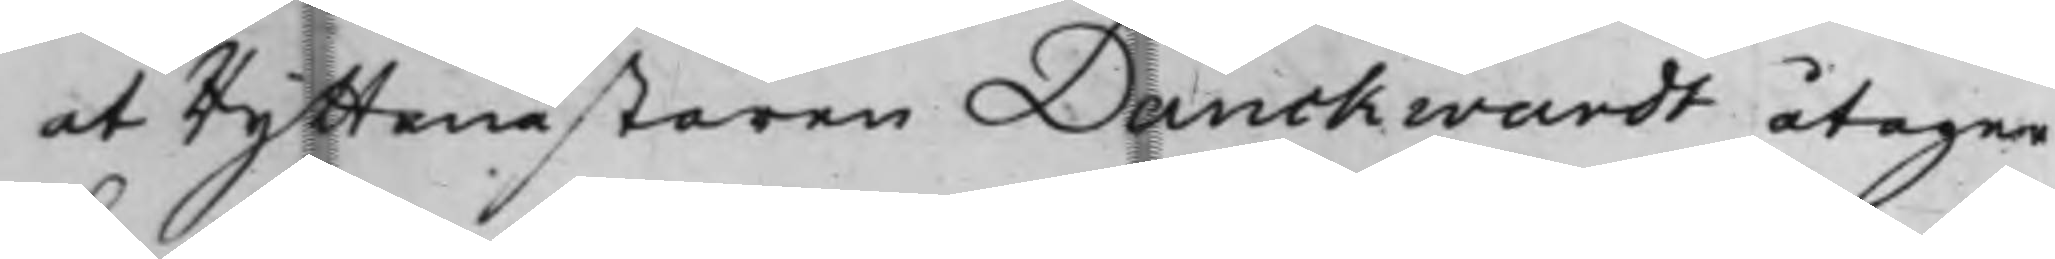at Ryttmästaren Danckwardt åtager
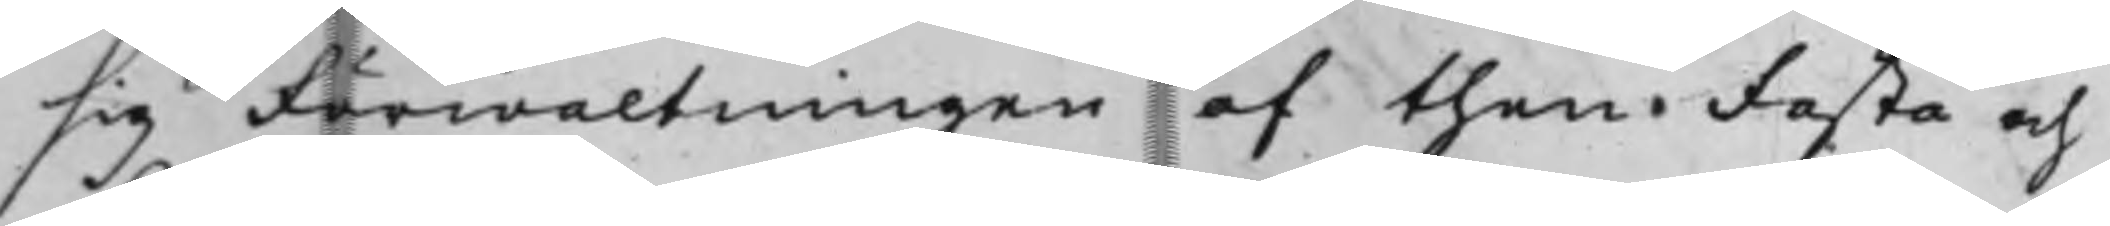sig Förwaltningen af then Fasta och
